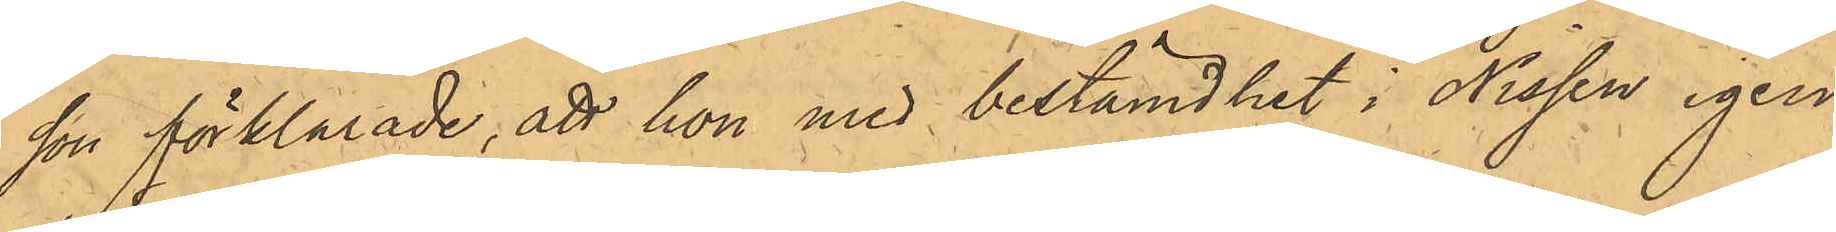son förklarade, att hon med bestämdhet i Nissen igen¬
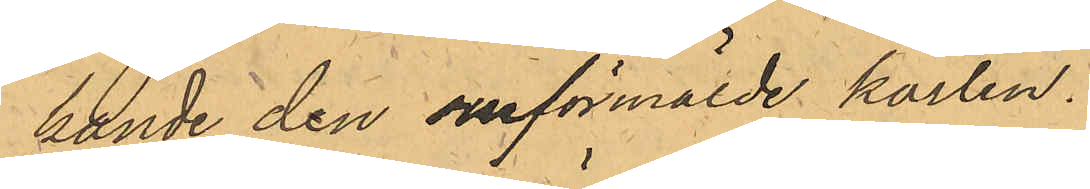kände den omförmälde karlen.
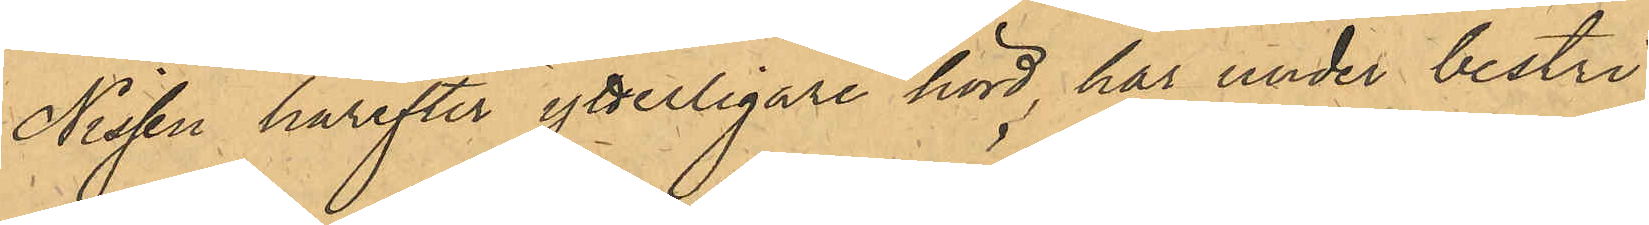Nissen härefter ytterligare hörd, har under bestri¬
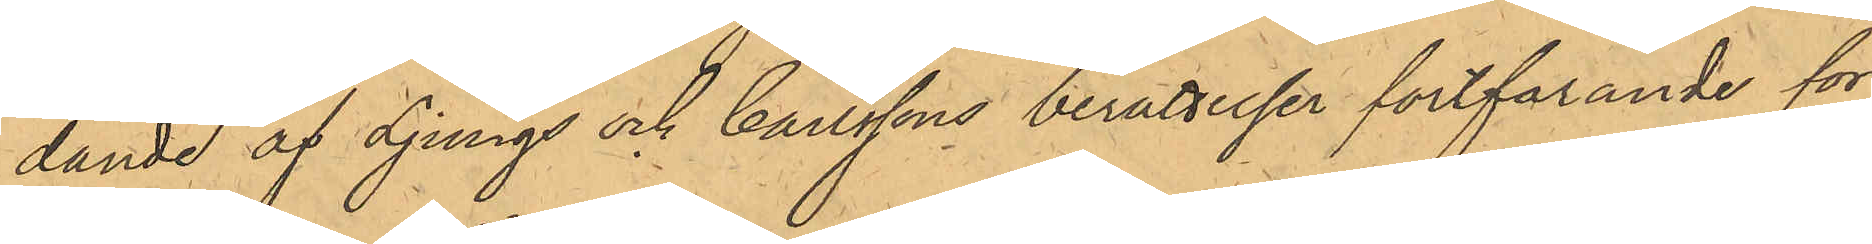dande af Ljungs och Carlssons berättelser fortfarande för¬
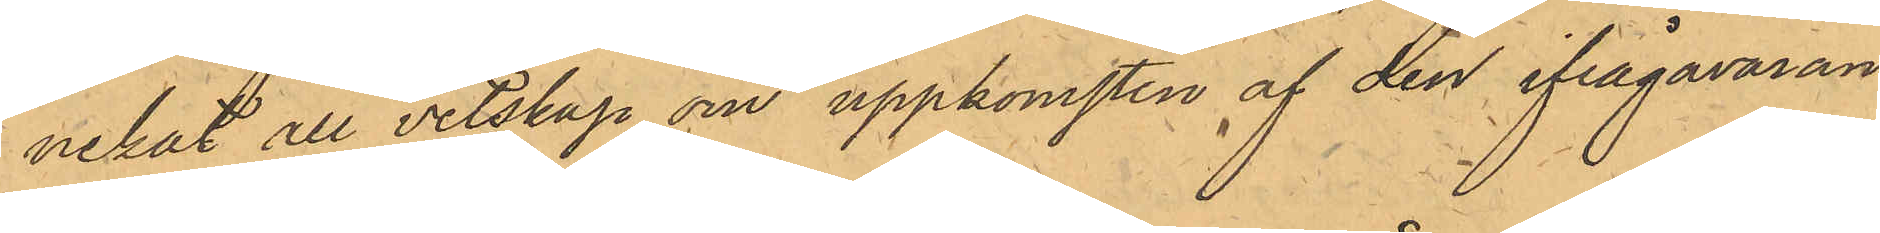nekat all vetskap om uppkomsten af den ifrågavaran¬
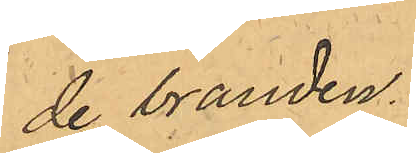de branden.
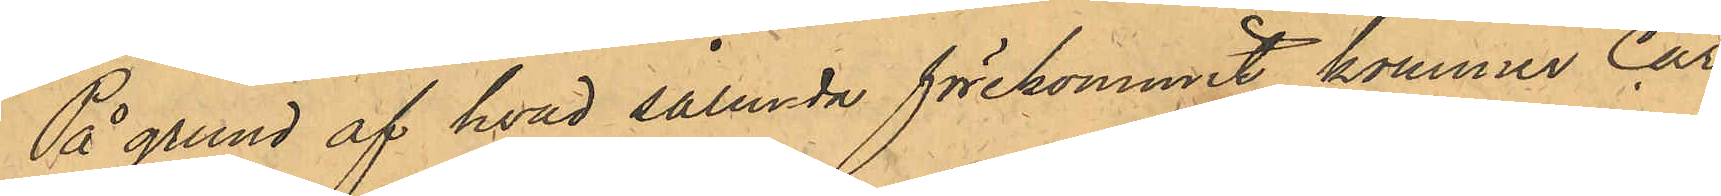På grund af hvad sålunda förekommit, kommer Car¬
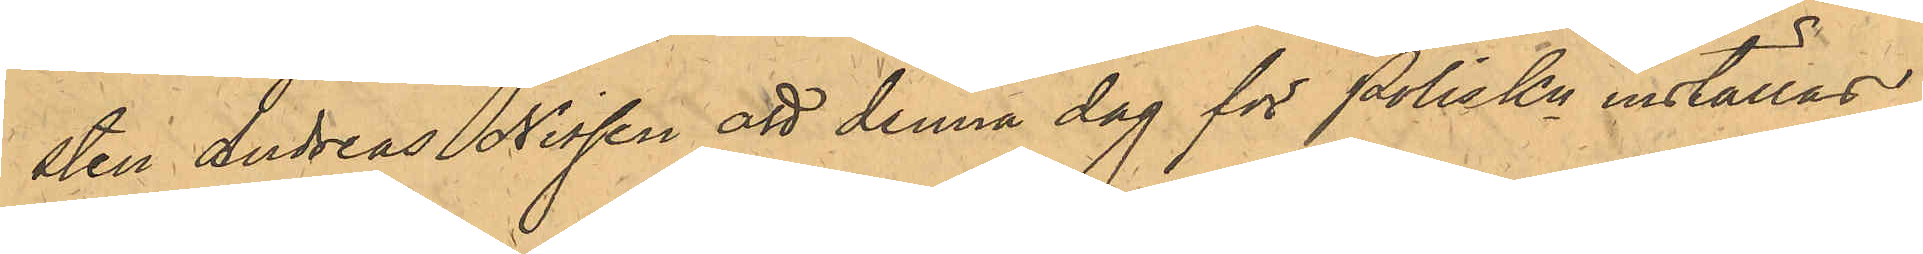sten Andreas Nissen att denna dag för PolisKn inställas.
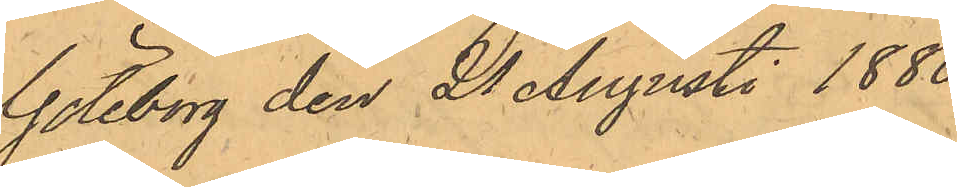Göteborg den 21 Augusti 1880.
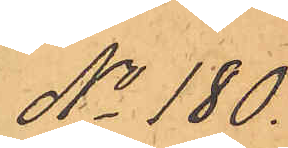No 180.
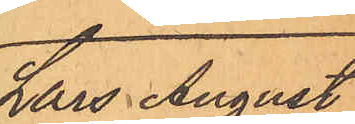Lars August
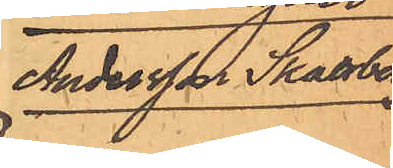Andersson Skattberg
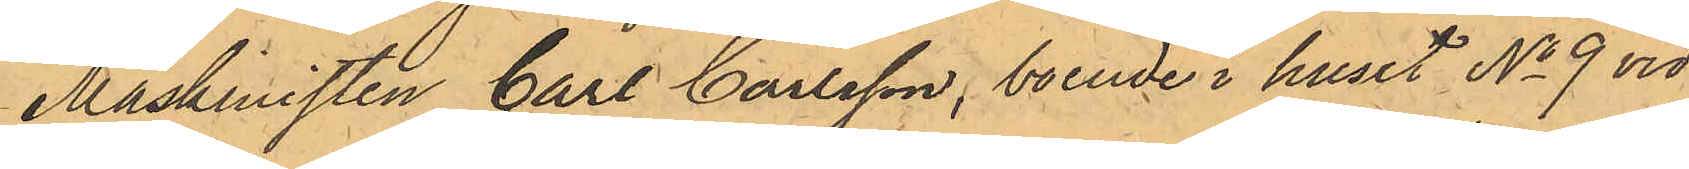Maskinisten Carl Carlsson, boende i huset No 9 vid
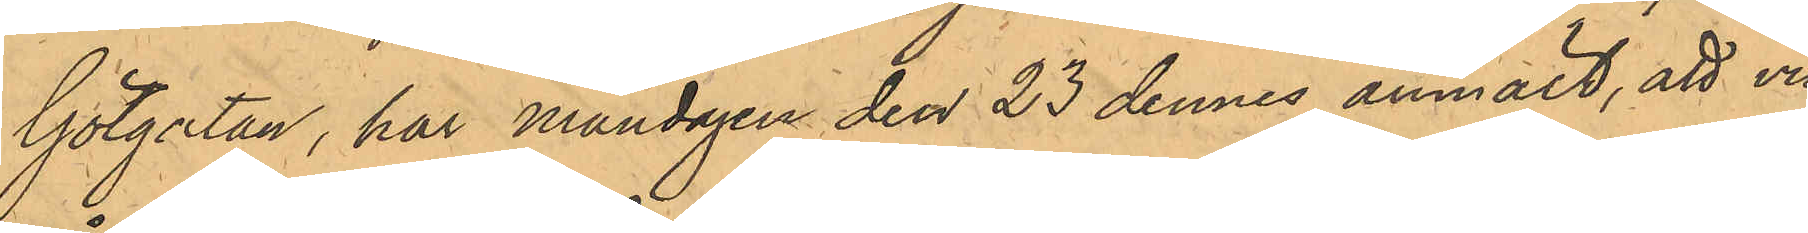Götgatan, har Måndagen den 23 dennes anmält, att vid¬
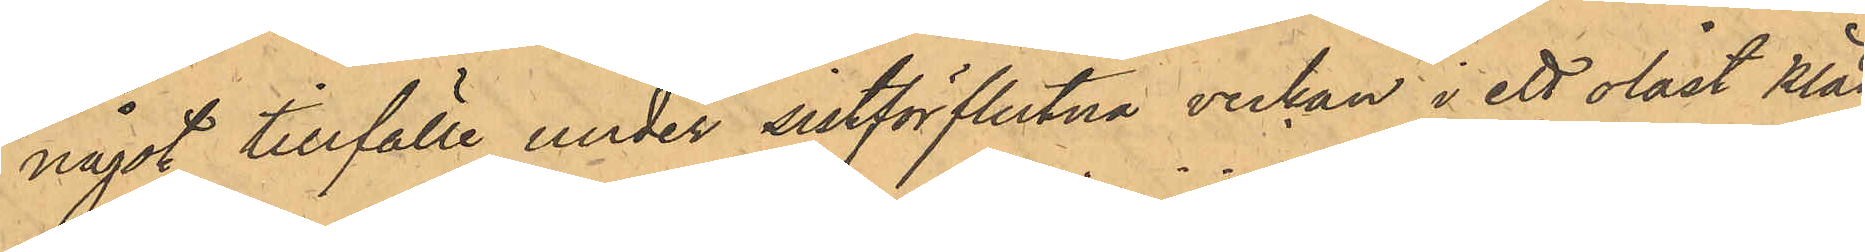något tillfälle under sistförflutna veckan i ett olåst kläd¬
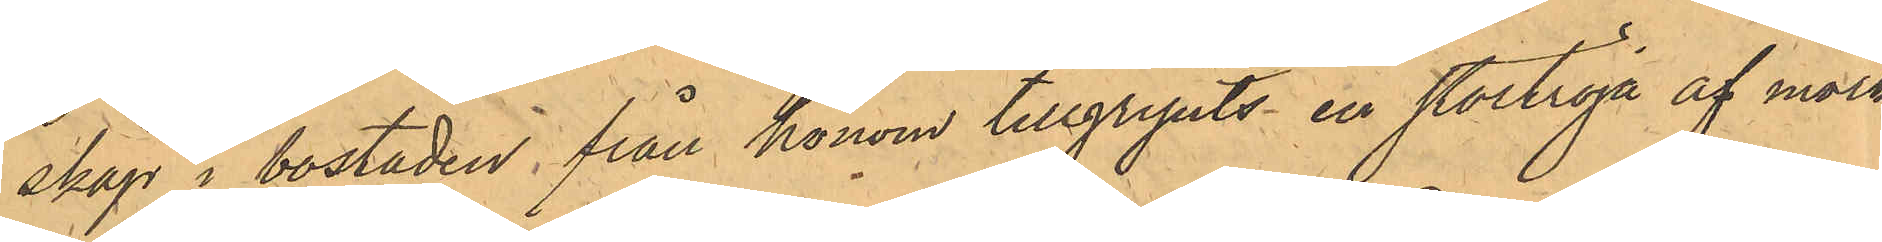skåp i bostaden, från honom tillgripits en stortröja af mörk¬
